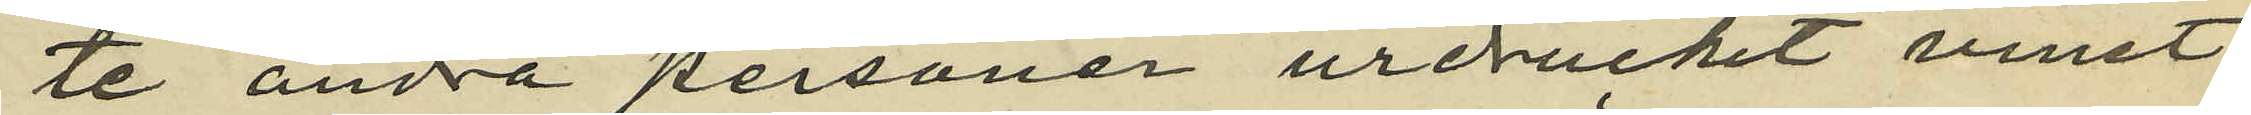te andra personer urdruckit vinet;
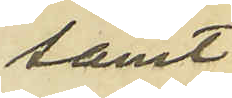samt
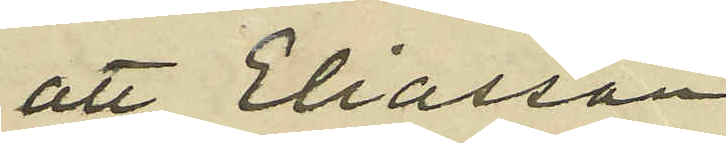att Eliasson
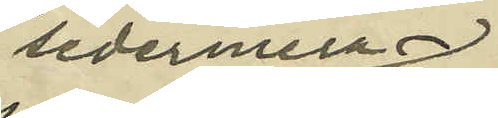sedermera
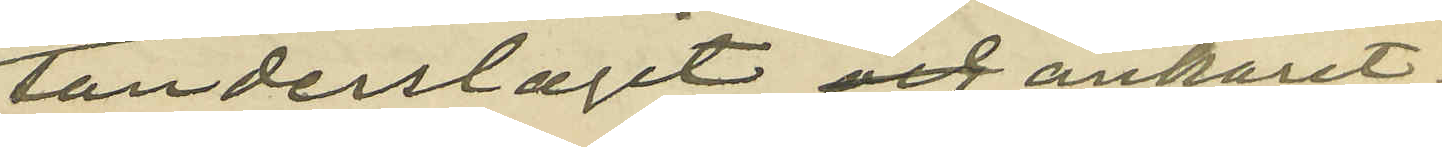sönderslagit  ankaret;
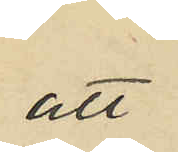att
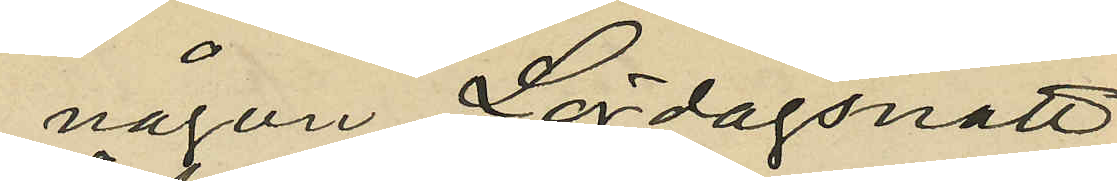någon Lördagsnatt
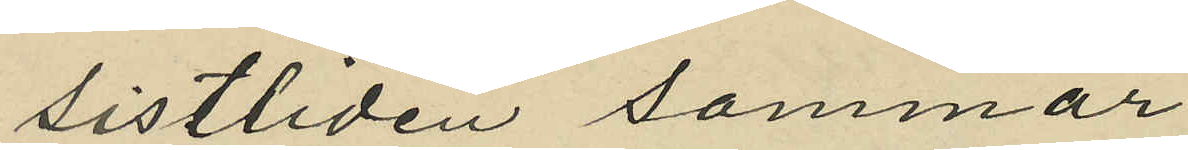sistliden sommar
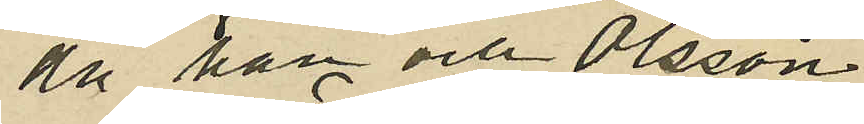då han och Olsson
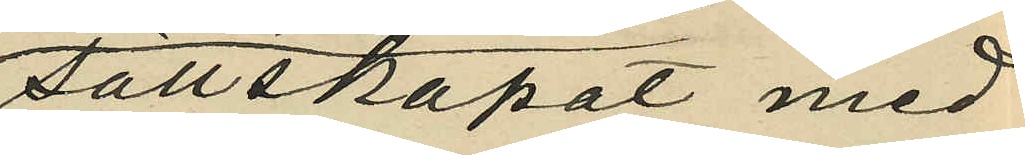sällskapat med
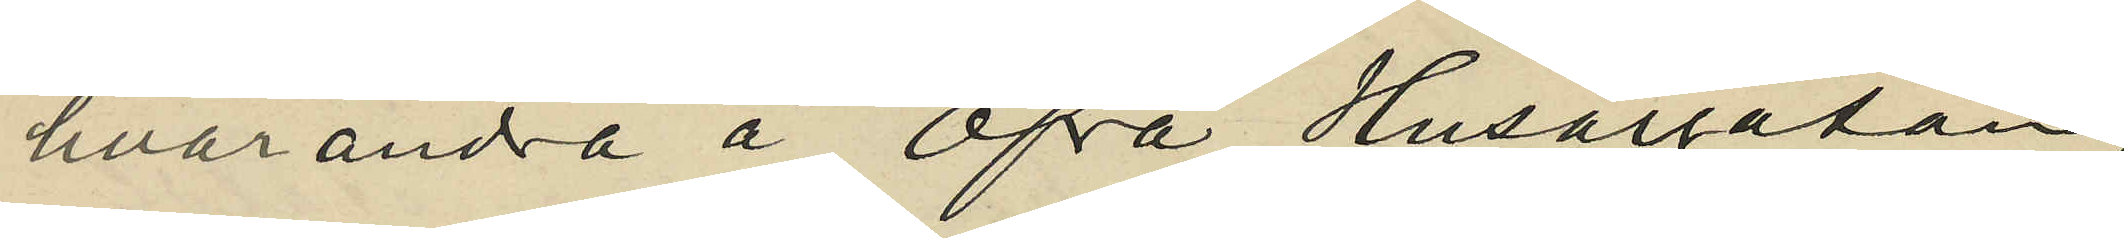hvarandra å Öfra Husargatan,
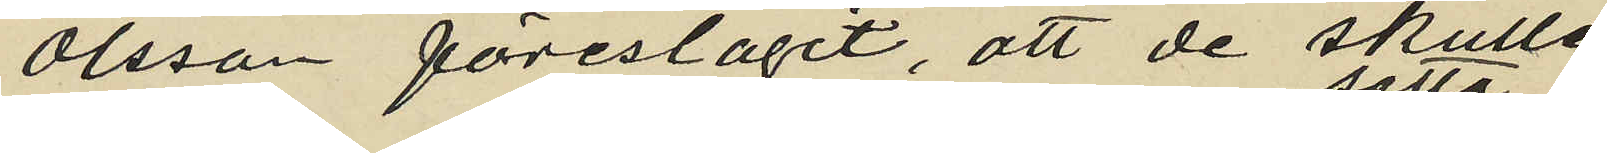Olsson föreslagit, att de skulle
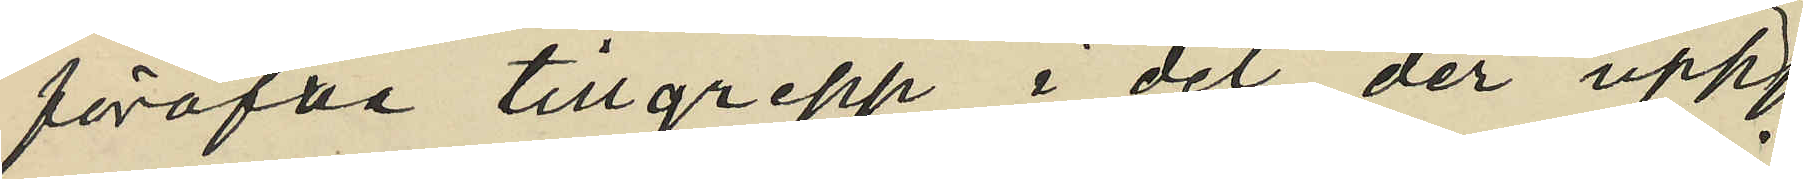föröfva tillgrepp i det der upp¬
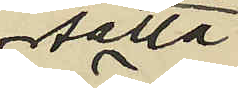satta
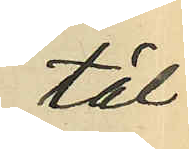täl¬
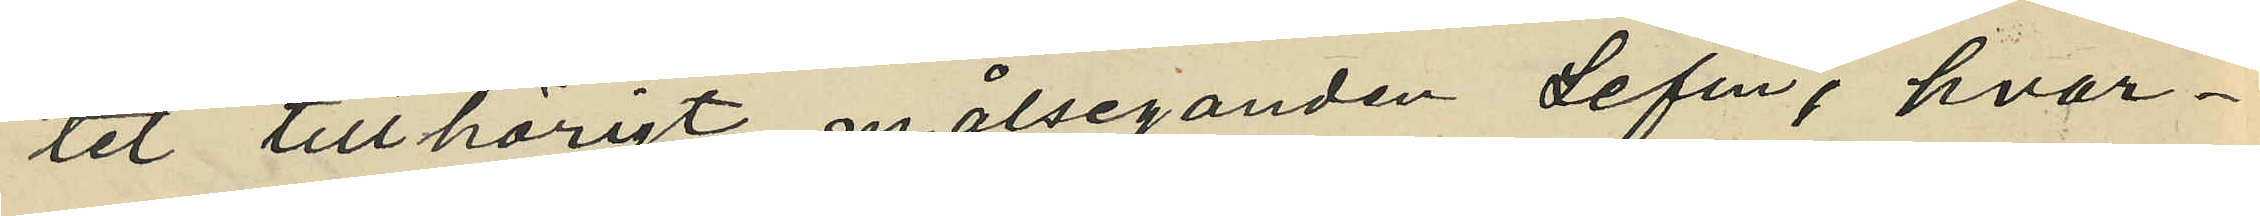tet tillhörigt målseganden Lefin, hvar¬
